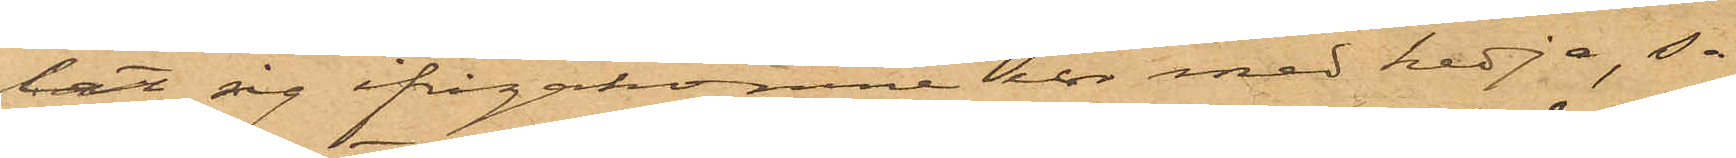lat sig ifrågakomne ur med kedja, så
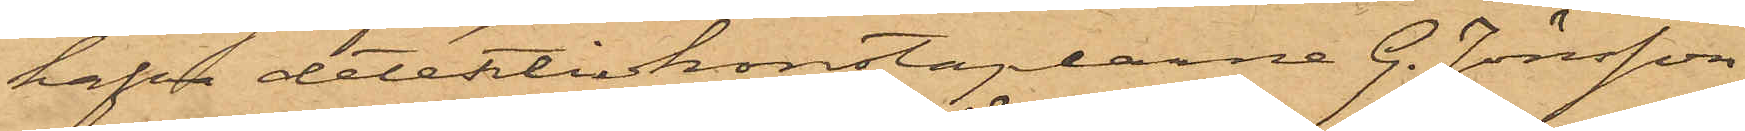hafva detektivkonstaplarne G. Jönsson
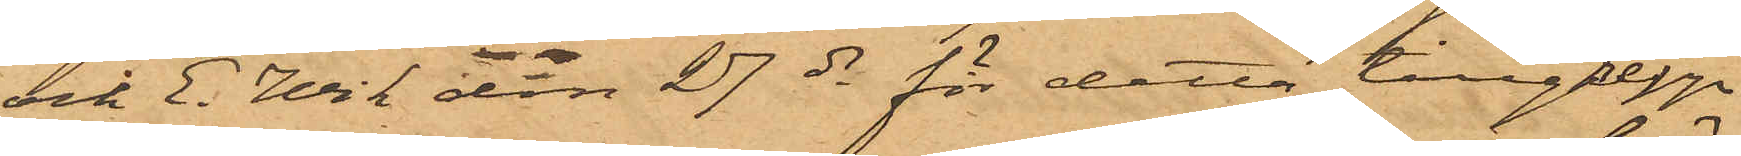och E. Wik den 27 ds för detta tillgrepp
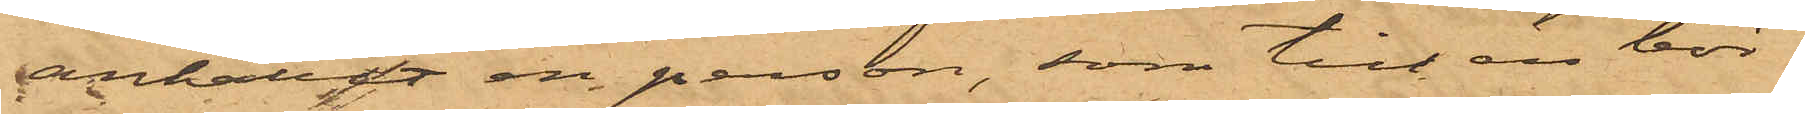anhållit en person, som till en bör¬
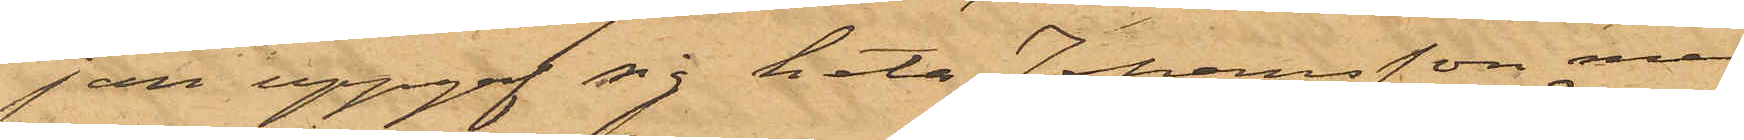jan uppgaf sig heta Johansson, men
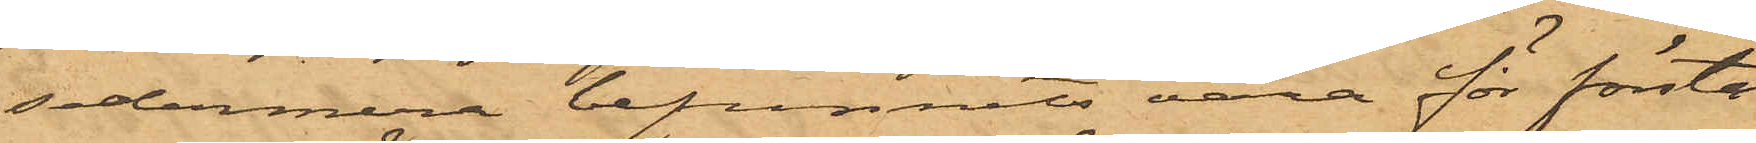sedermera befunnits vara för första
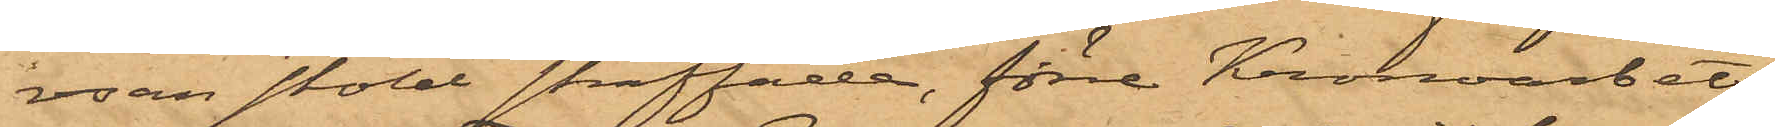resan stöld straffade, förre Kronoarbets¬
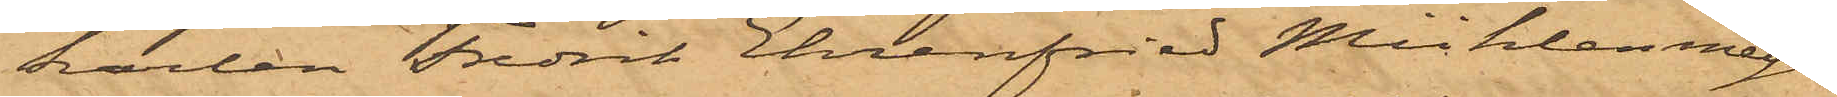karlen Fredrik Ehrenfried Mühlenmeijer
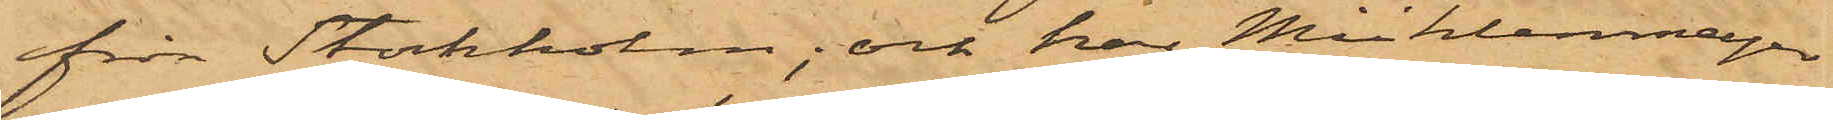från Stockholm; och har Mühlenmeijer
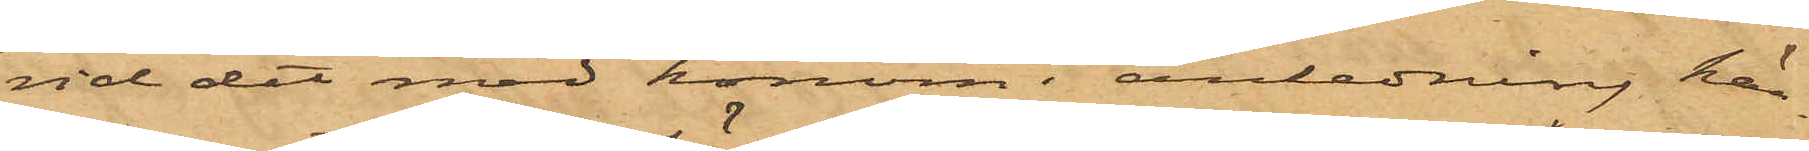vid det med honom i anledning här¬
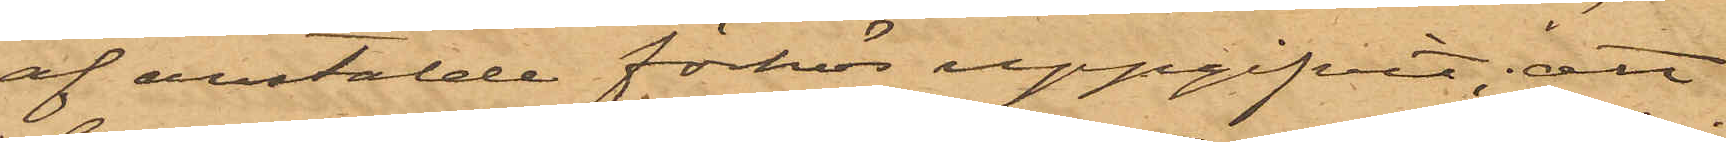af anstälde förhör uppgifvit, att
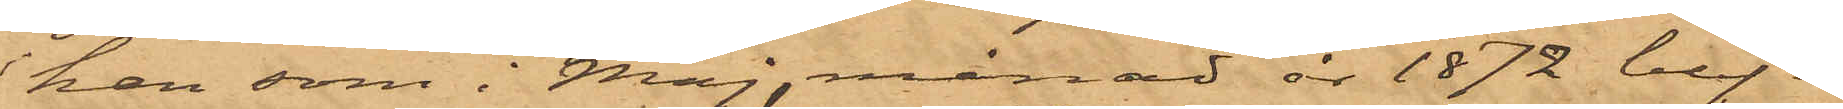han som i Maj månad år 1872 blif¬
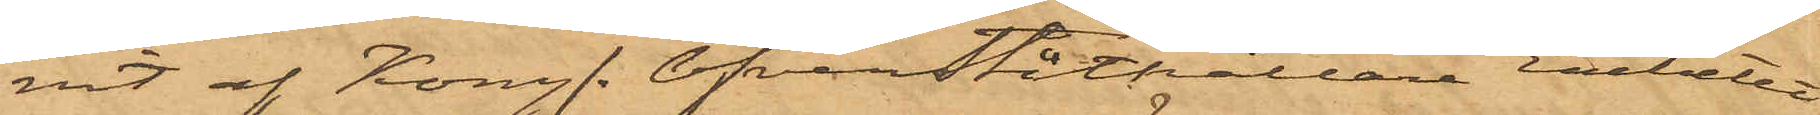vit af Kongl. Öfverståthållare Embetet
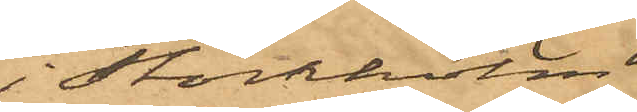i Stockholm
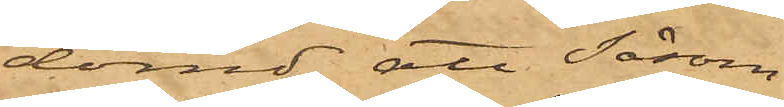dömd att såsom
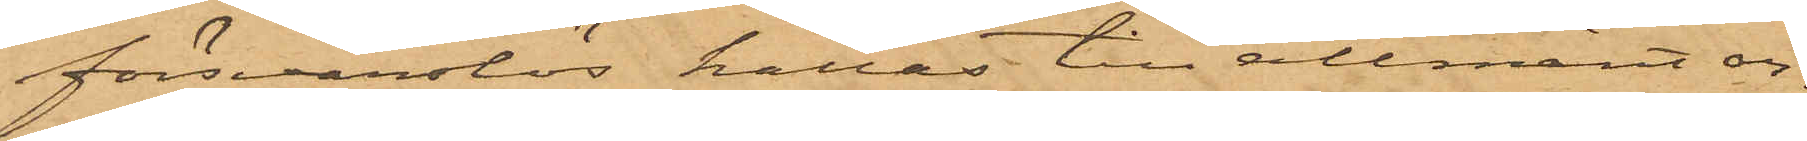försvarslös hållas till allmänt ar¬
